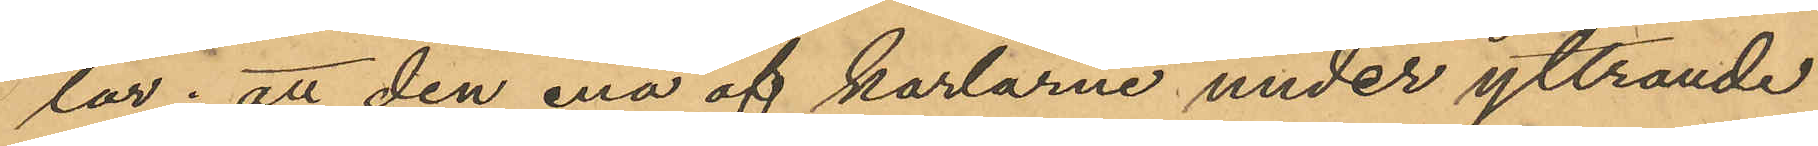lar; att den ena af karlarne under yttrande
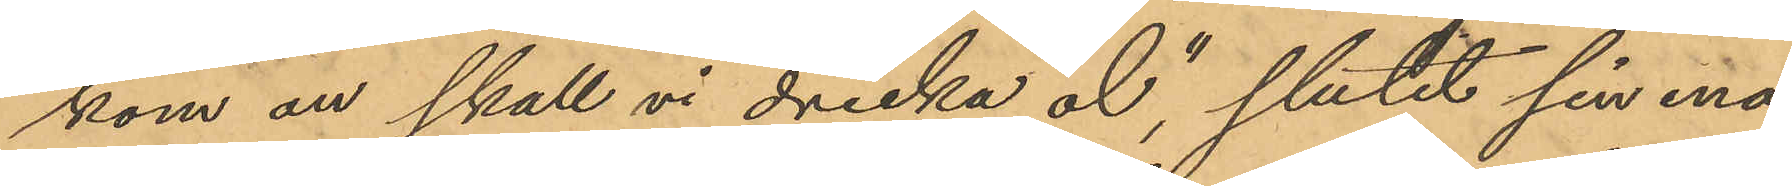"kom an skall vi dricka öl", slutit sin ena
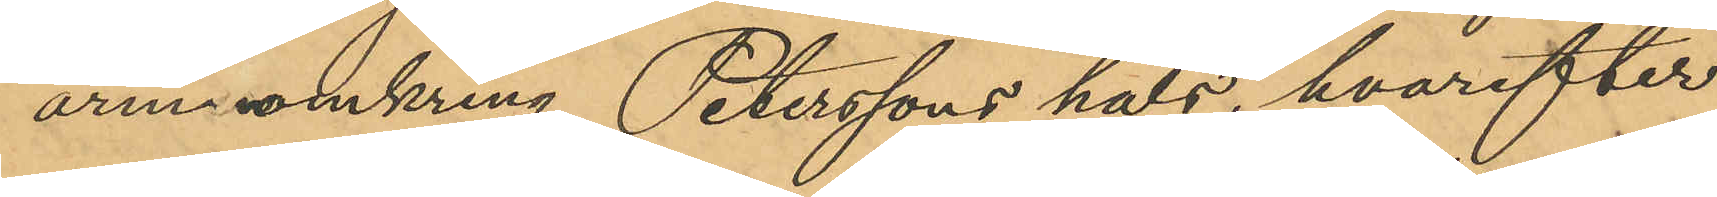arm omkring Peterssons hals, hvarefter
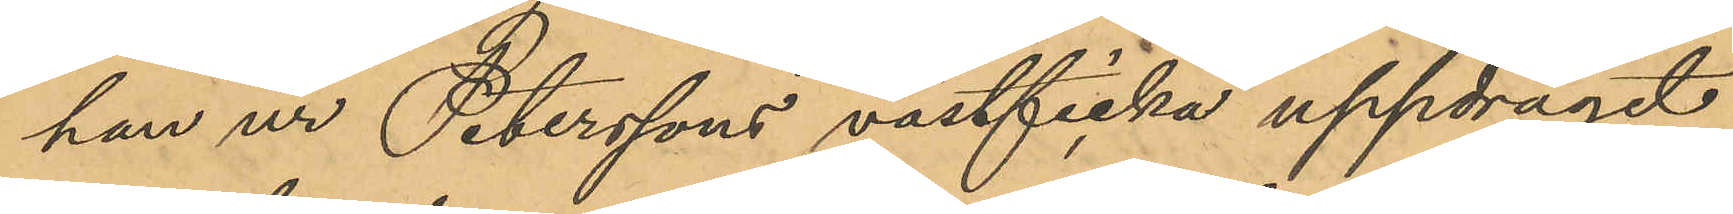han ur Peterssons västficka uppdragit
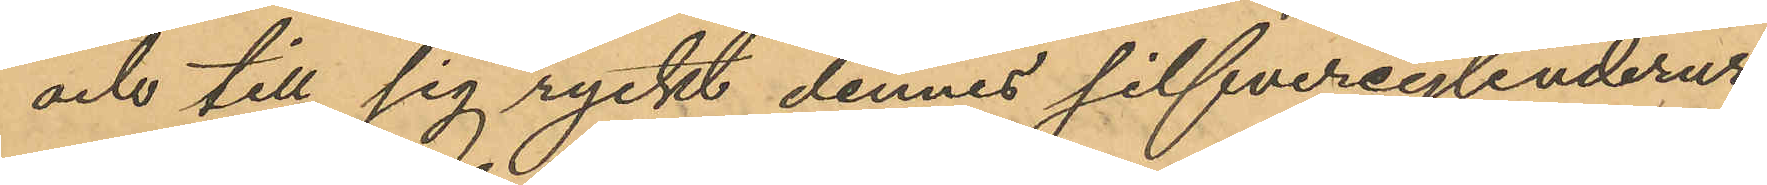och till sig ryckt dennes silfvercylenderur
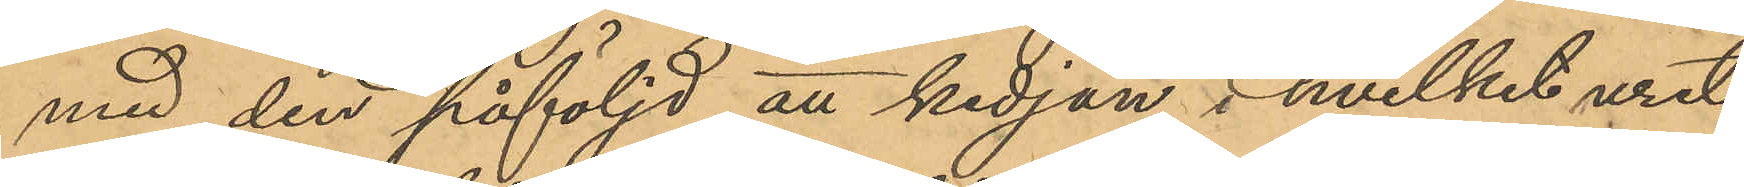med den påföljd att kedjan, i hvilket uret
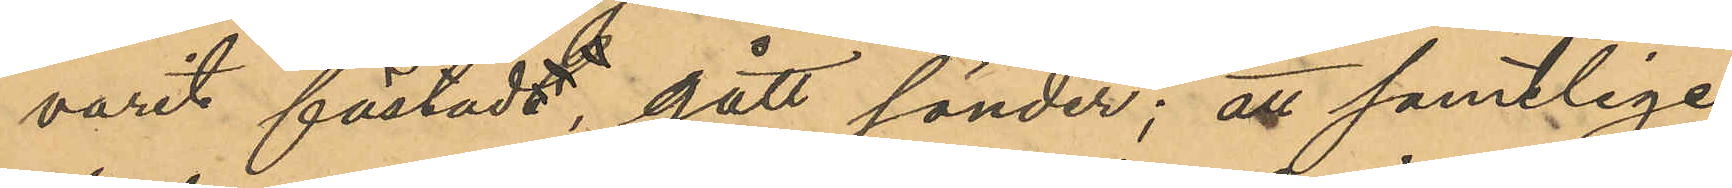varit fästad, gått sönder; att samtlige
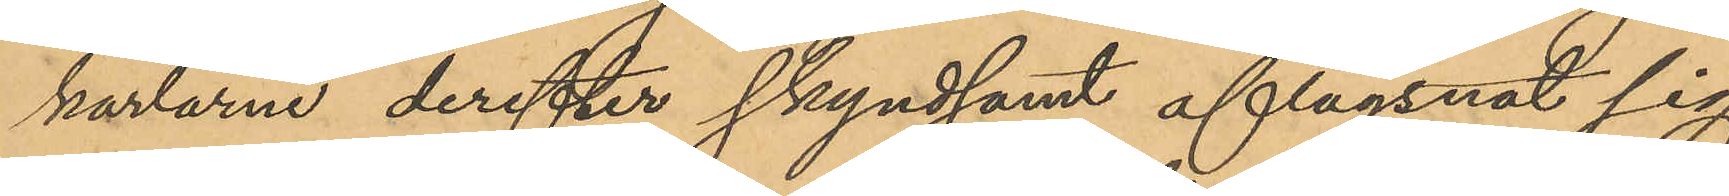karlarne derefter skyndsamt aflägsnat sig
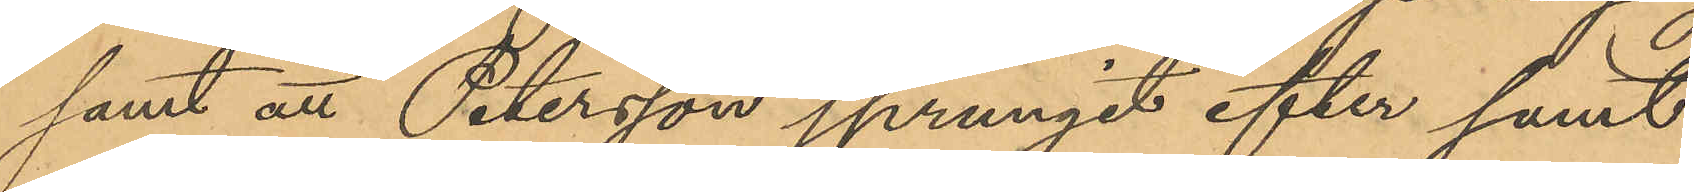samt att Petersson sprungit efter samt
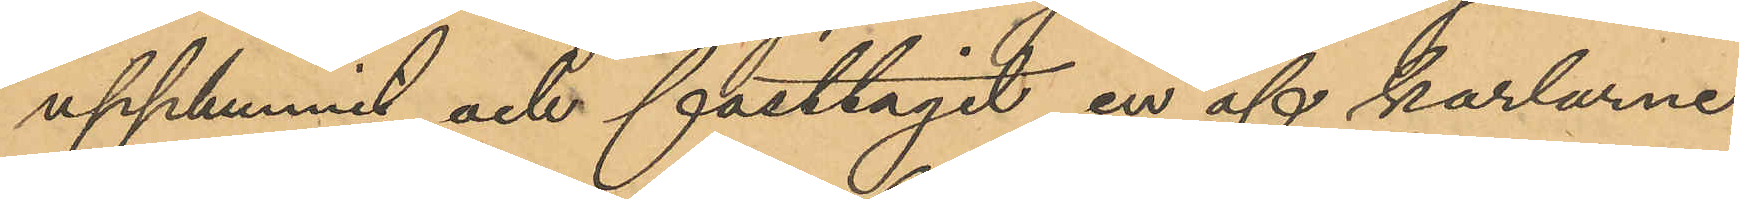upphunnit och fasttagit en af karlarne,
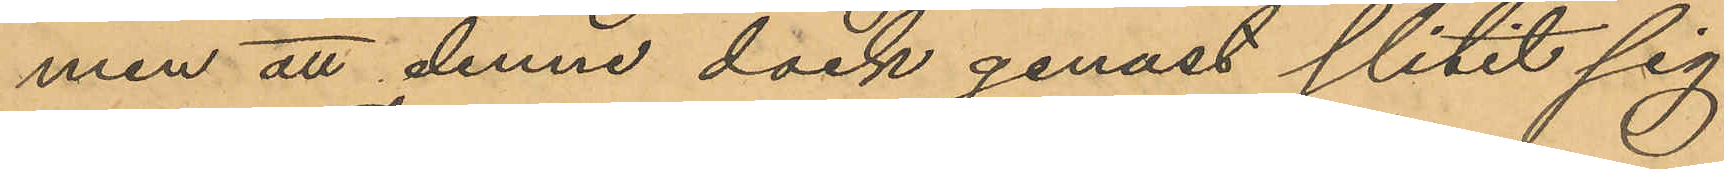men att denne dock genast slitit sig
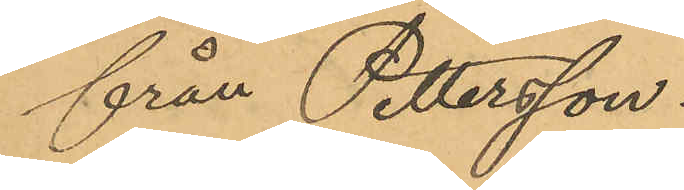från Pettersson.
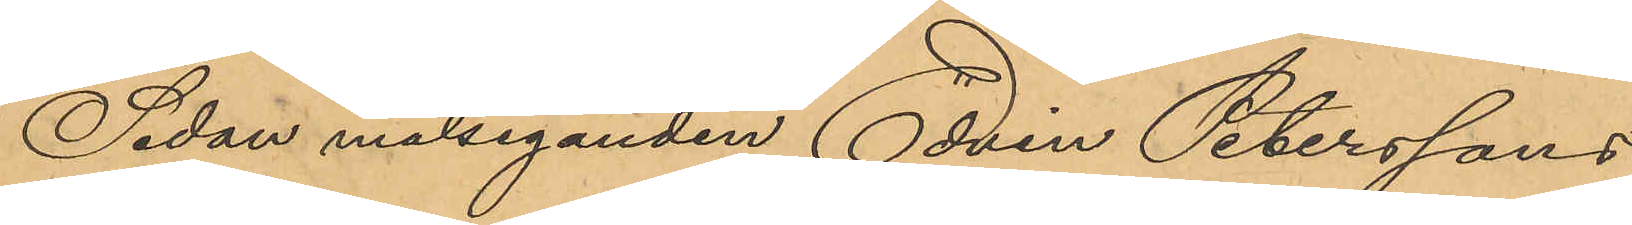Sedan målseganden Edvin Peterssons
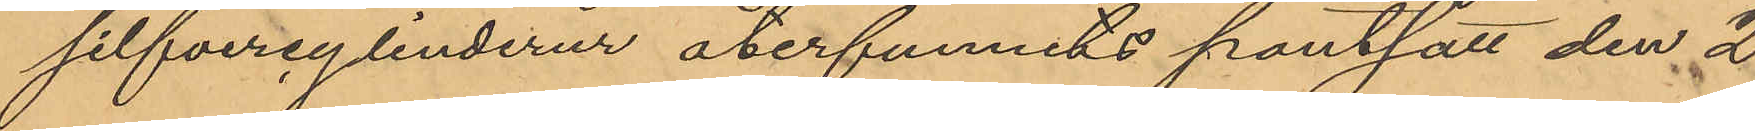silfvercylinderur återfunnits pantsatt den 2
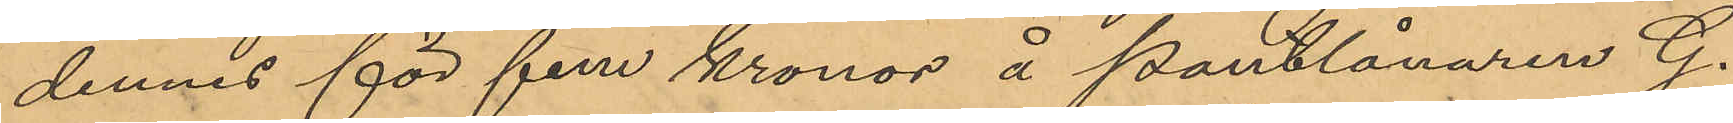dennes för fem kronor å Pantlånaren G.
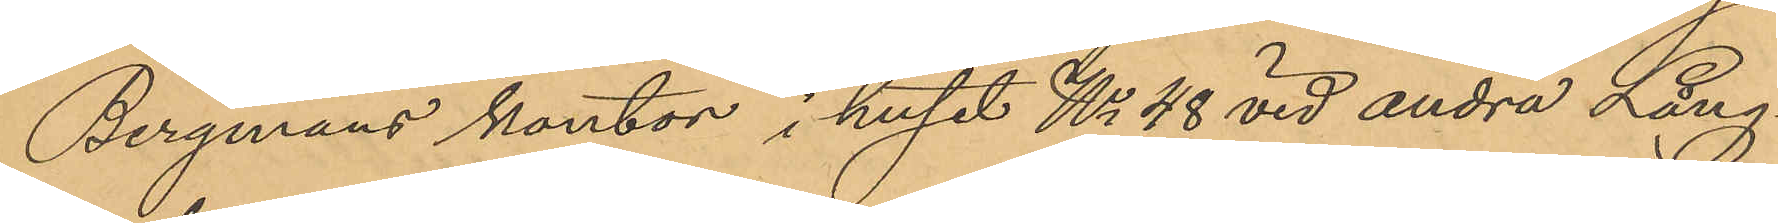Bergmans kontor i huset No 48 vid andra Lång¬
